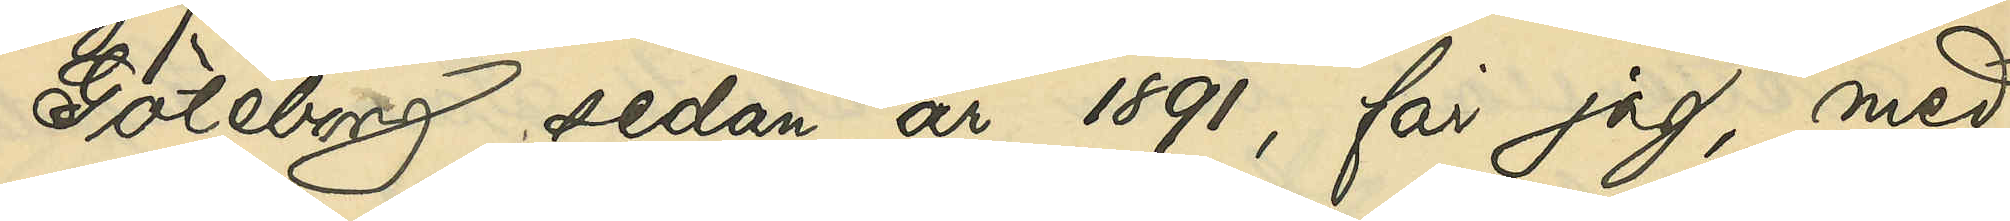Göteborg sedan år 1891, får jag, med
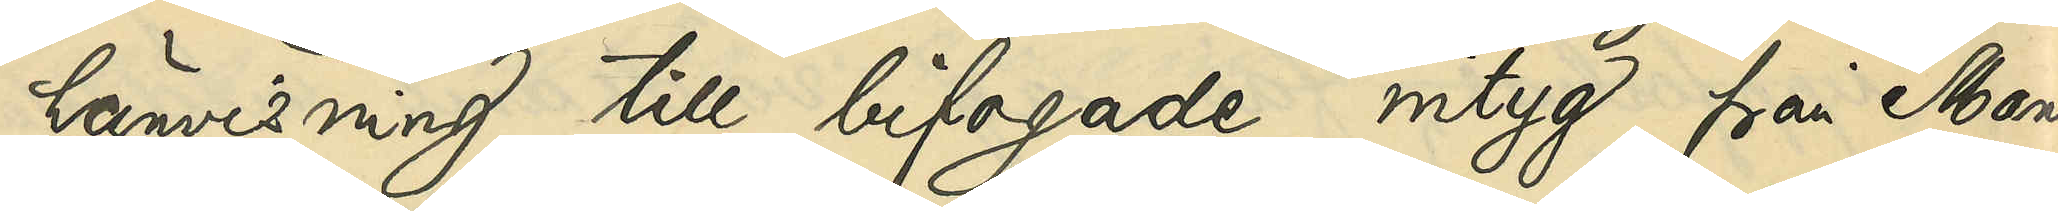hänvisning till bifogade intyg från Man¬
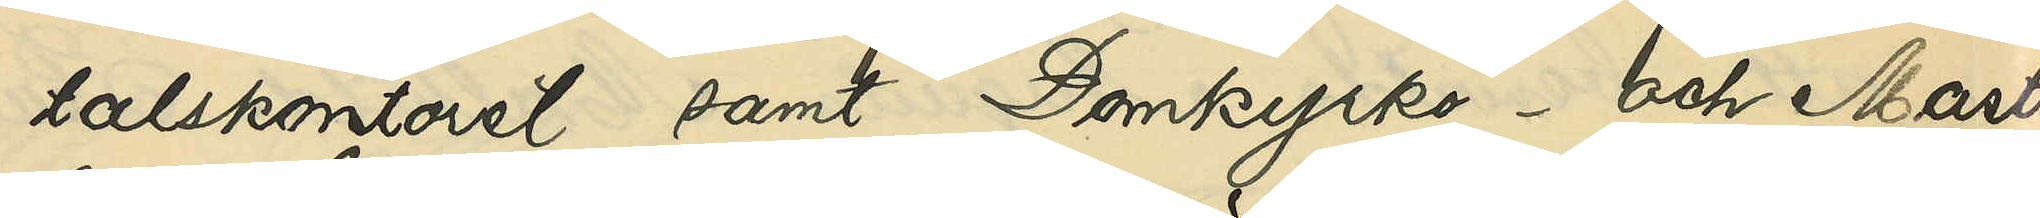talskontoret samt Domkyrko- och Mast¬
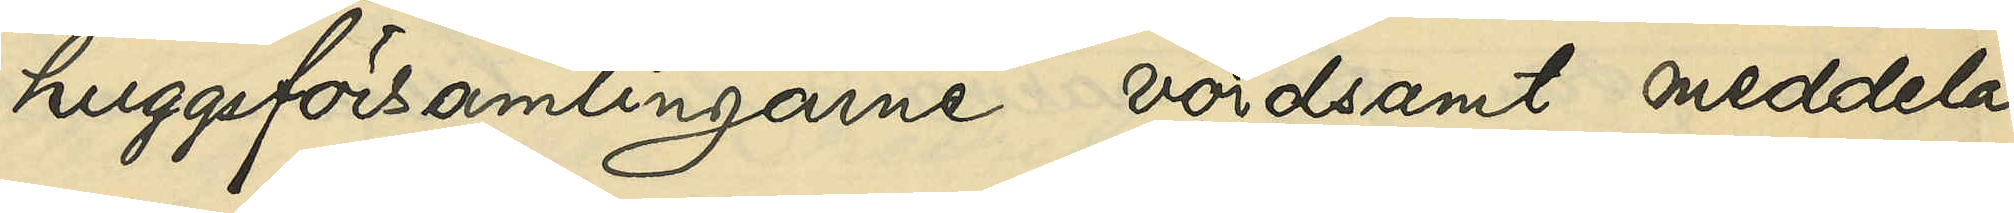huggsförsamlingarne vördsamt meddela.
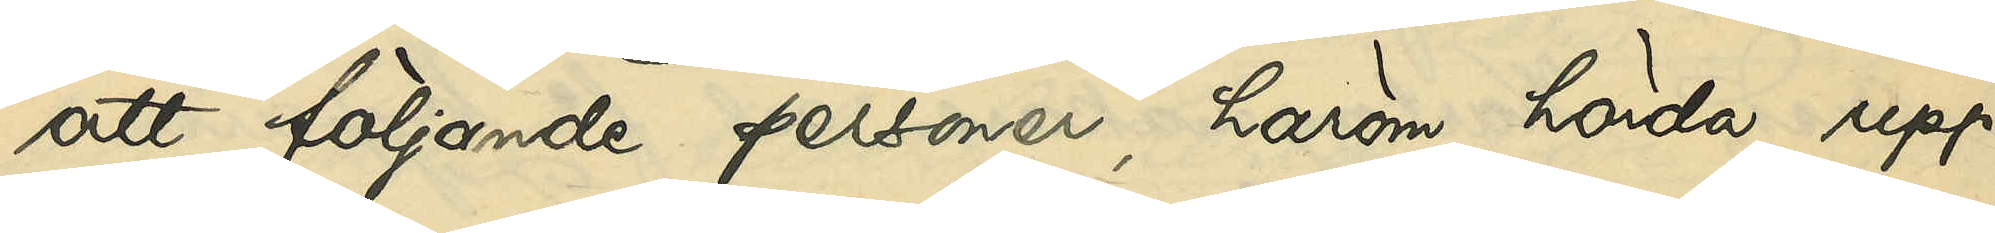att följande personer, härom hörda, upp¬
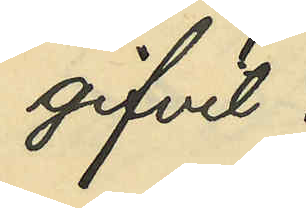gifvit:
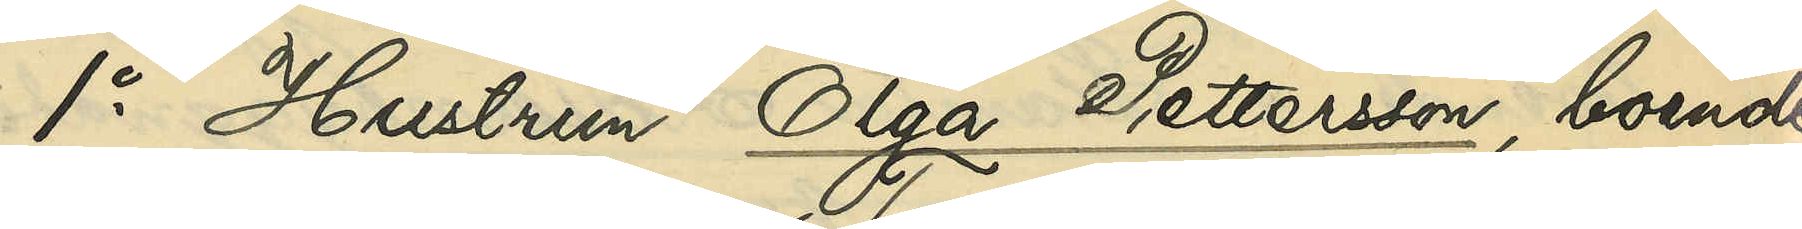1o Hustrun Olga Pettersson, boende
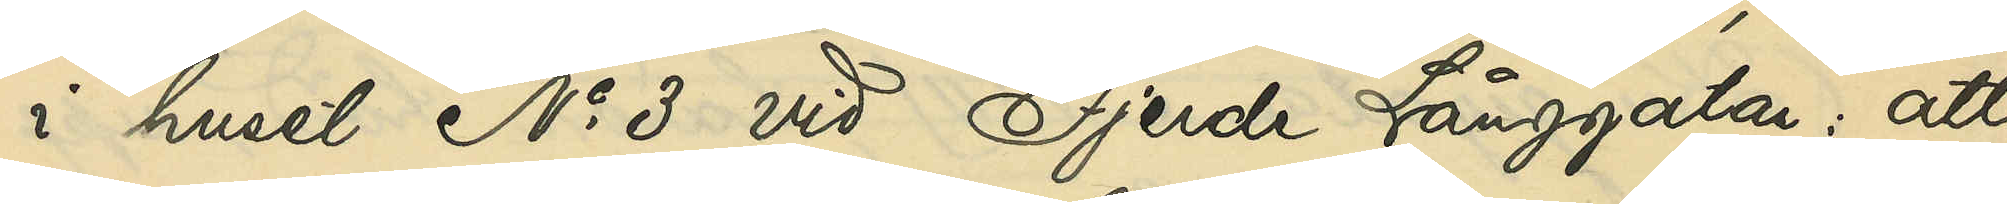i huset No 3 vid Fjerde Långgatan: att
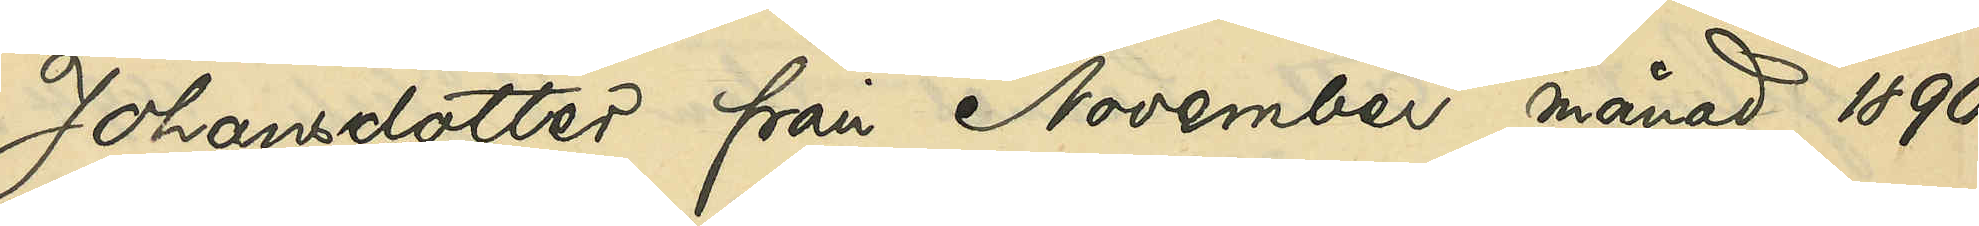Johansdotter från November månad 1890
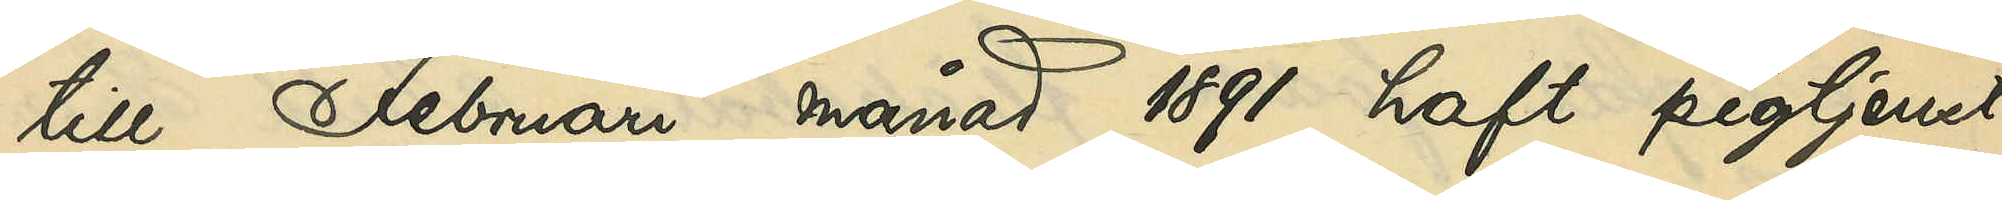till Februari månad 1891 haft pigtjenst
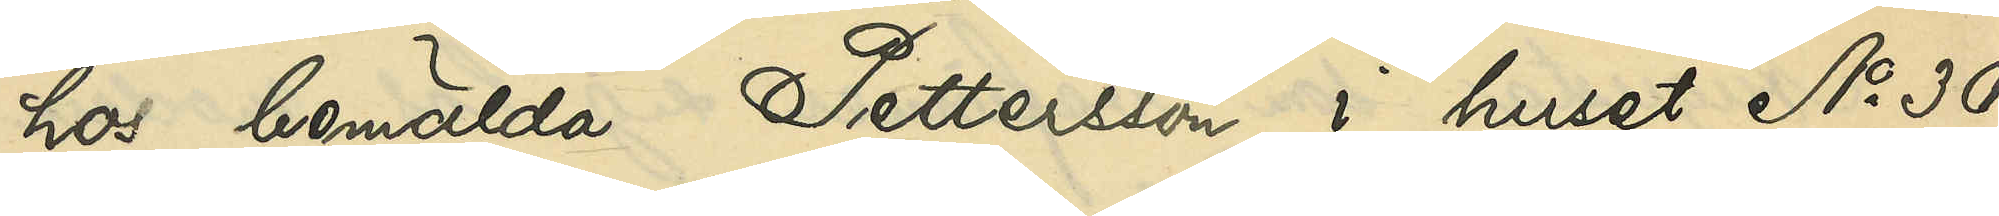hos bemälda Pettersson i huset No 30
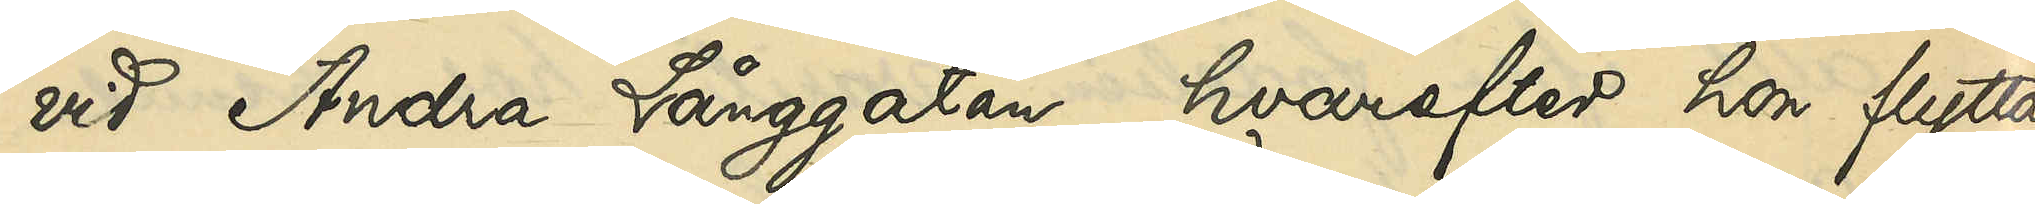vid Andra Långgatan, hvarefter hon flyttat
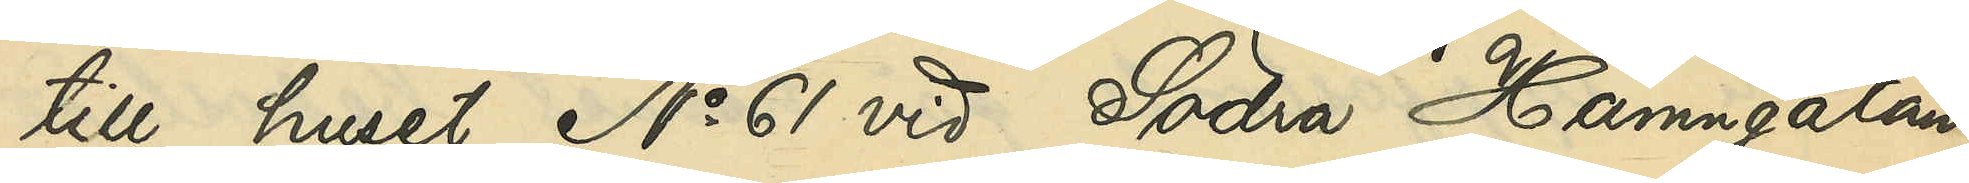till huset No 61 vid Södra Hamngatan;
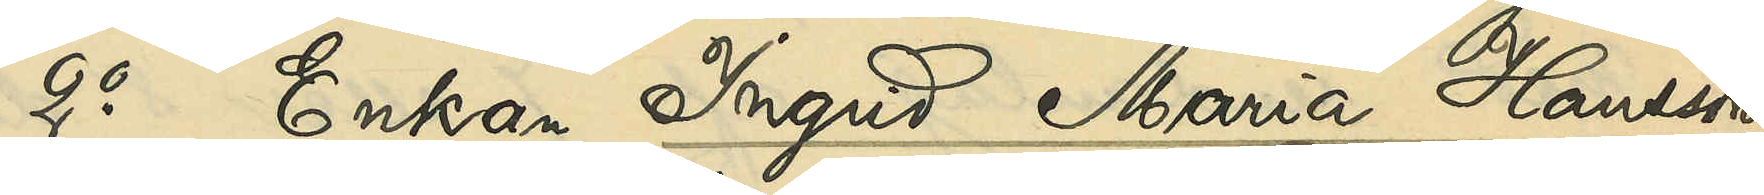2o Enkan Ingrid Maria Hansson
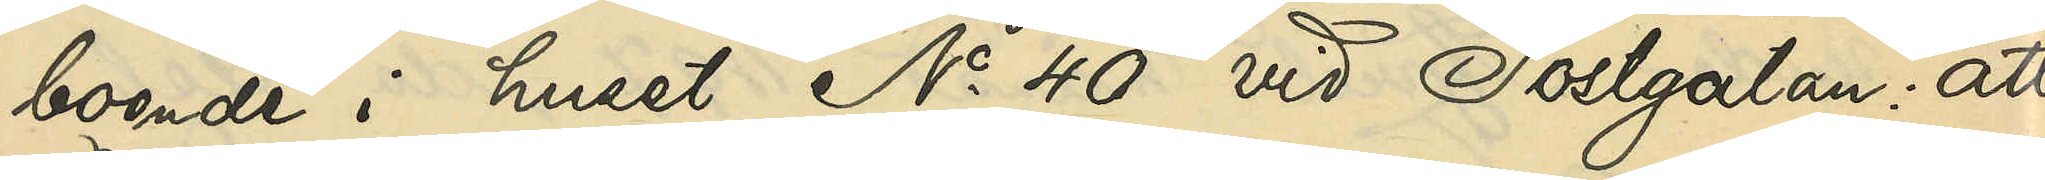boende i huset No 40 vid Postgatan: att
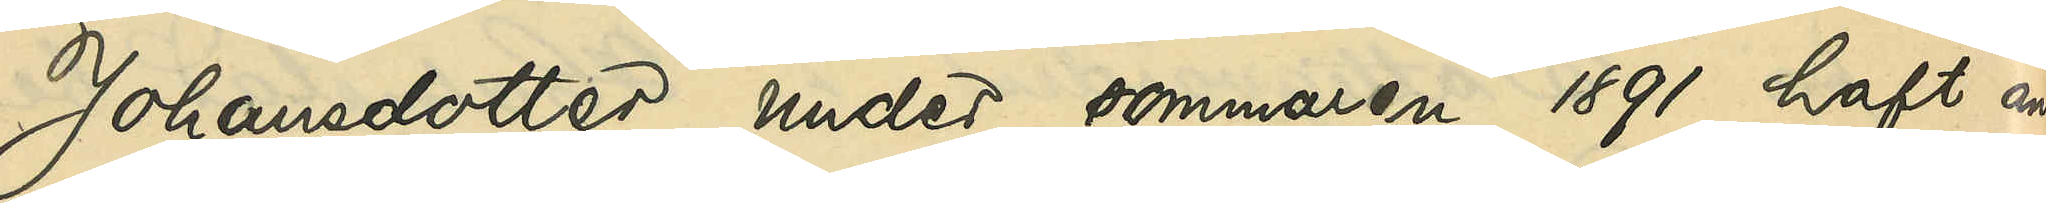Johansdotter under sommaren 1891 haft an¬
